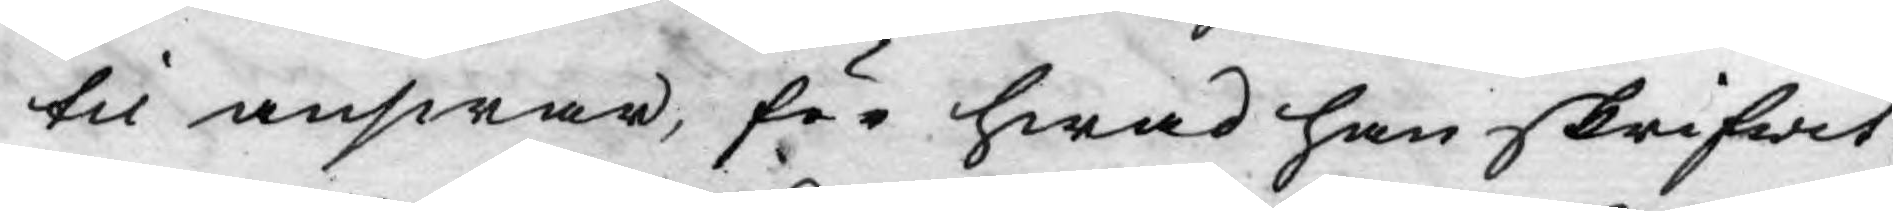til answar, för hwad han skrifwit.
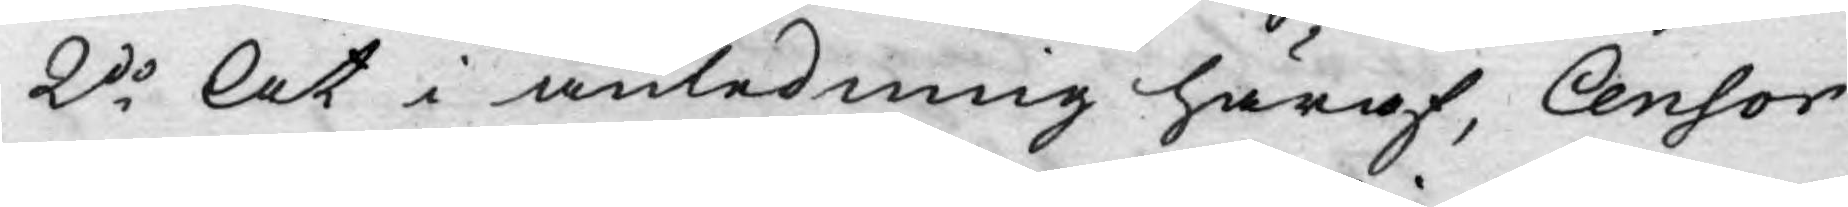2do At i anledning häraf, Censor
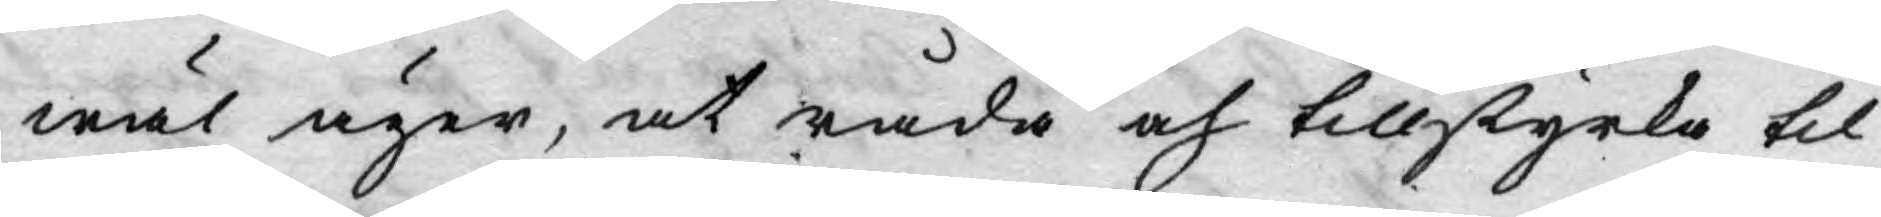wäl äger, at råda och tillstyrka til
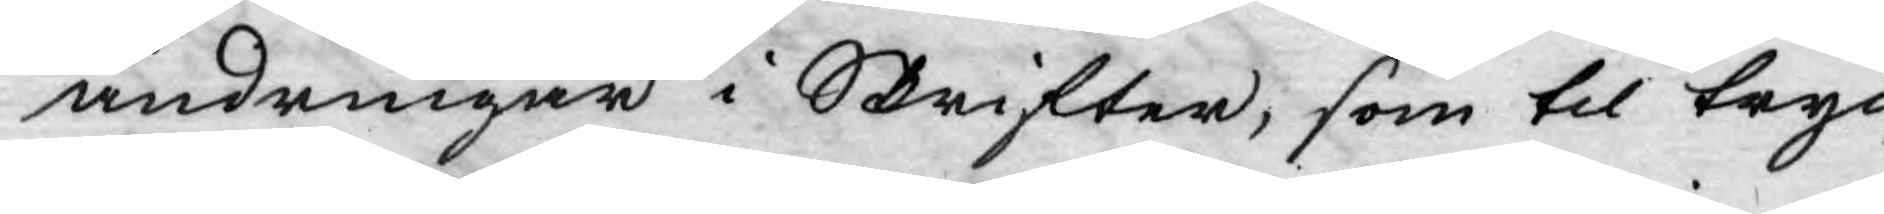ändringar i Skrifter, som til tryc¬
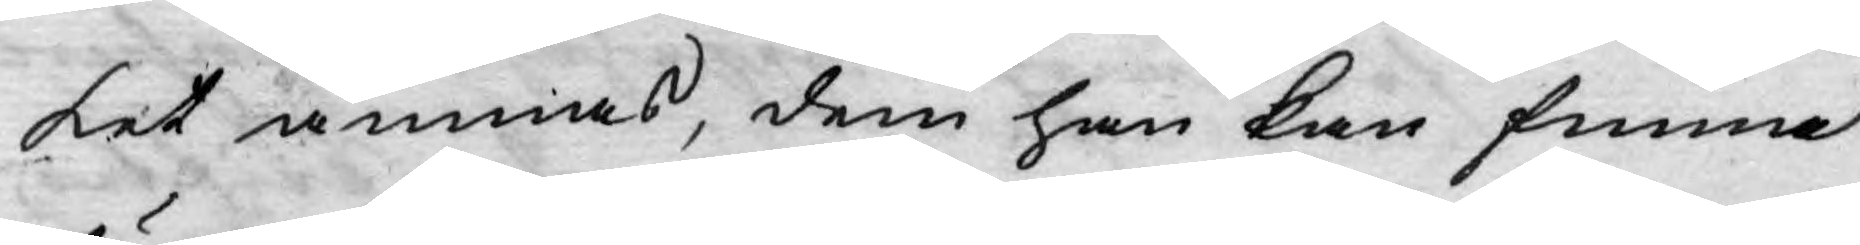ket ämnas, dem han kan finna
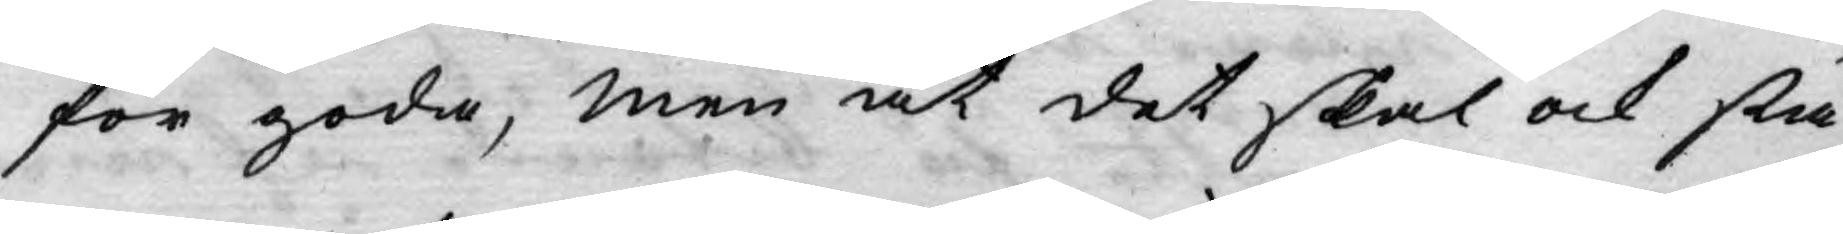för goda, men at det skal ock stå
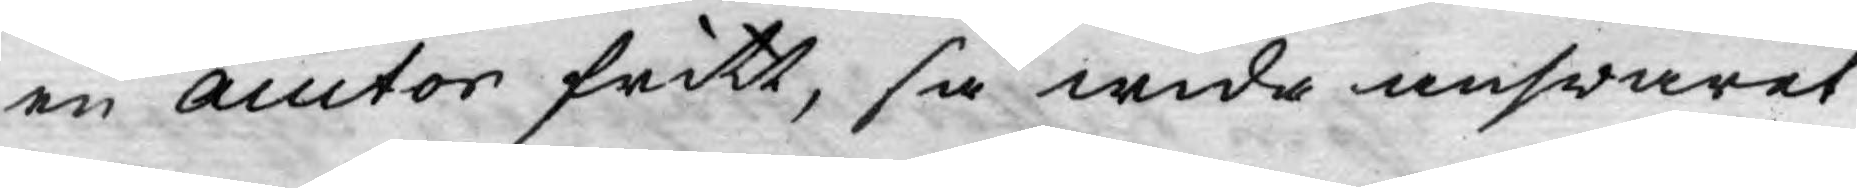en auctor fritt, så wida answaret
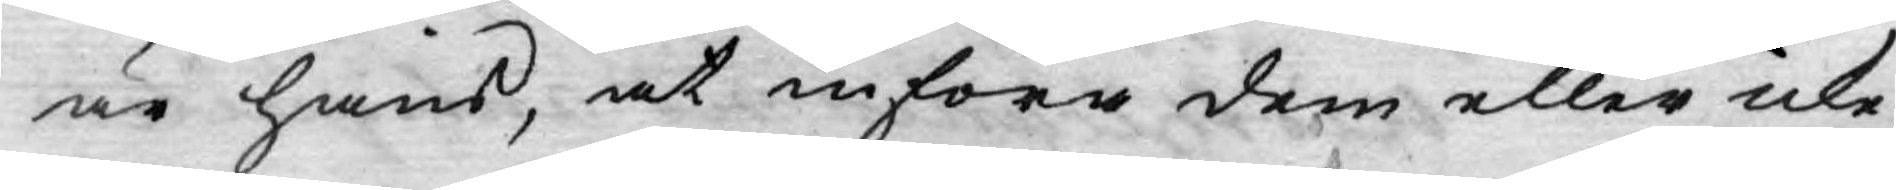är hans, at införa dem eller icke
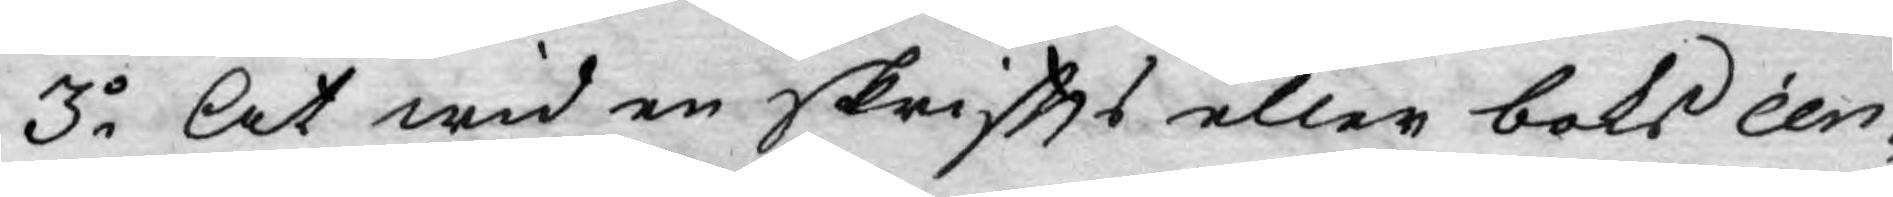3o At wid en skriffts eller boks cen¬
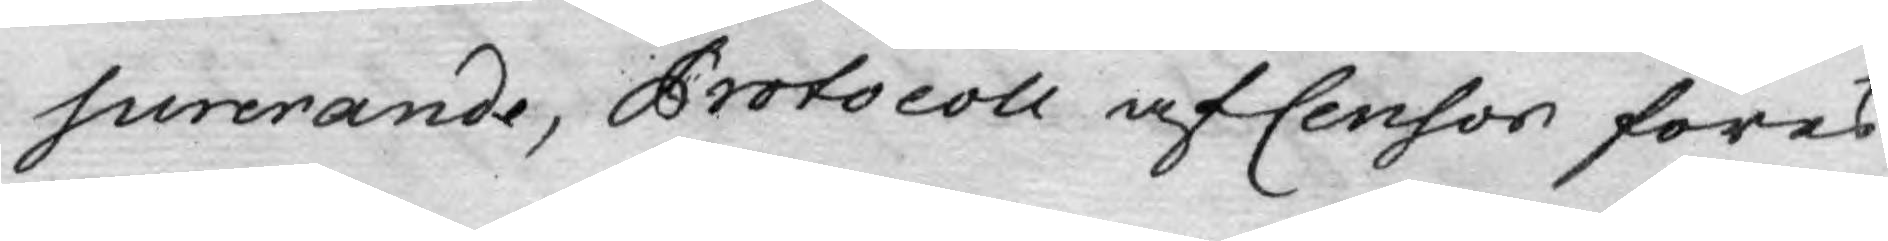surerande, Protocoll af Censor föres
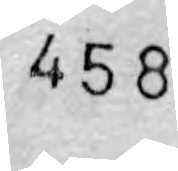458
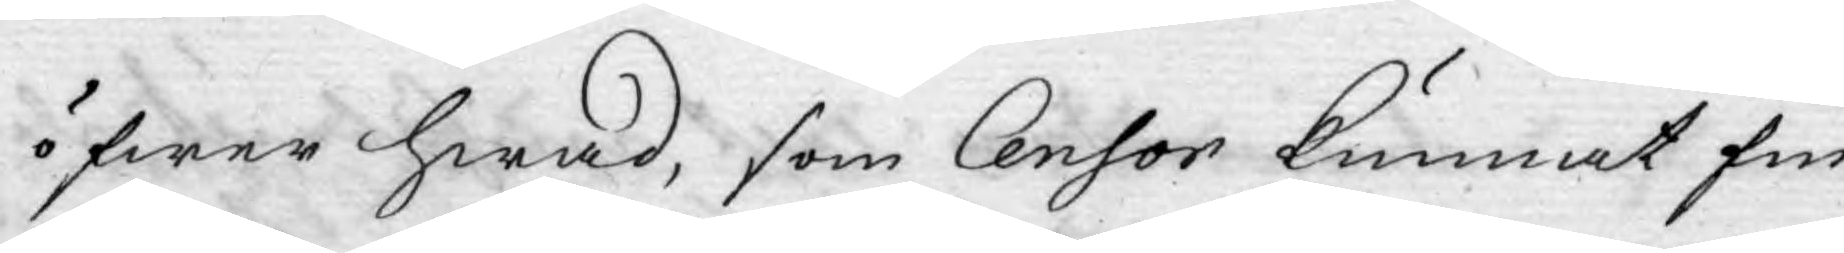öfwer hwad, som Censor kunnat fin¬
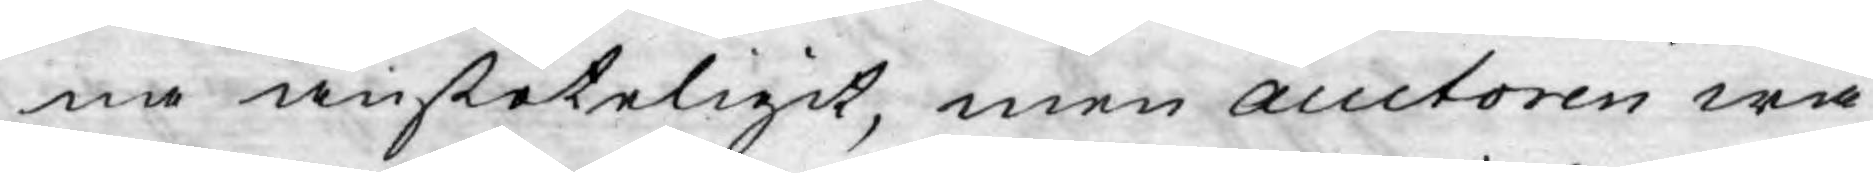na anstöteligit, men auctoren wä¬
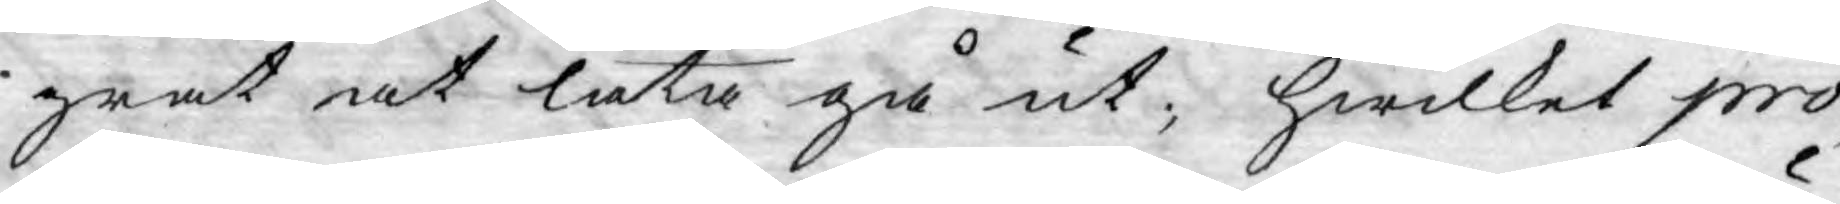grat at låta gå ut; hwilket pro¬
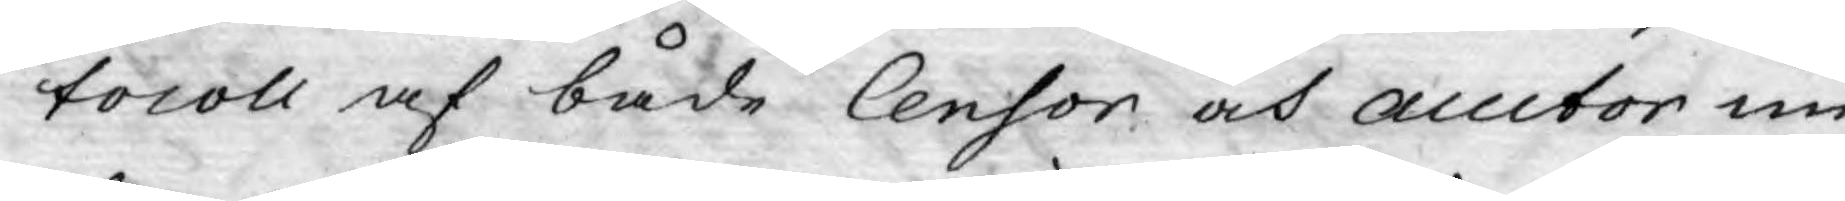tocoll af både Censor och auctor un¬
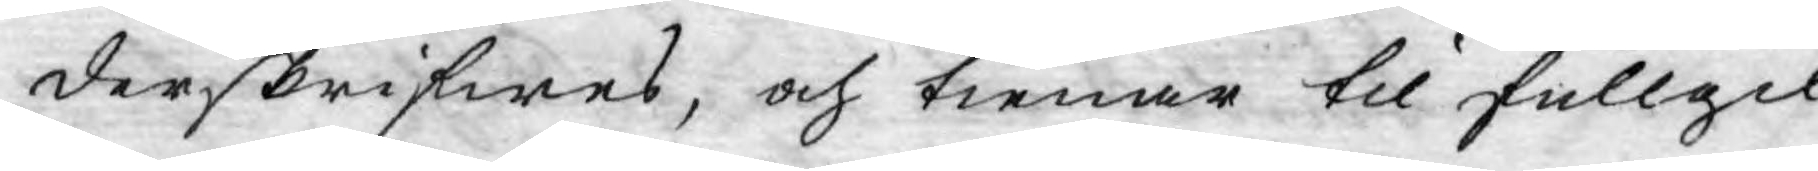derskrifwes, och tienar til fullgil¬
